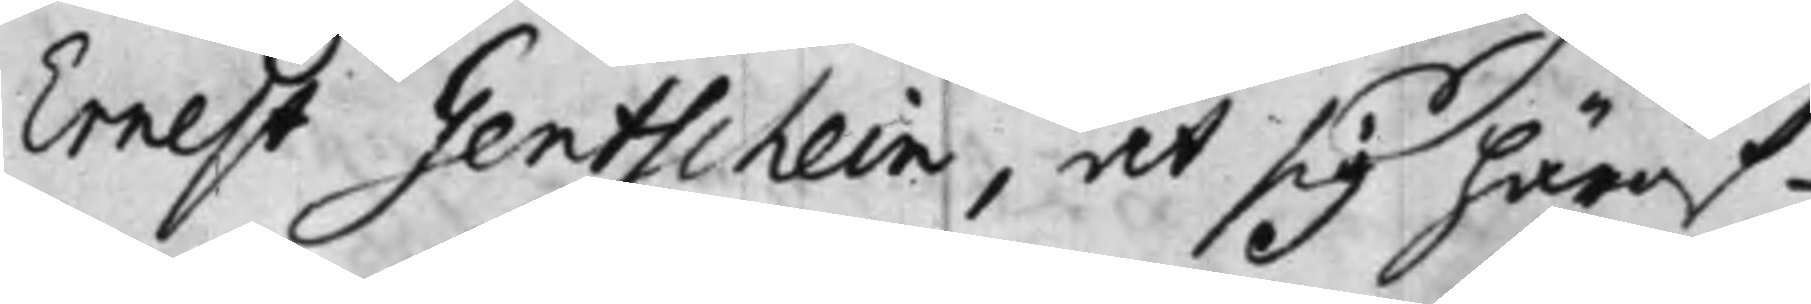Ernest Gentschein, at sig häröf¬
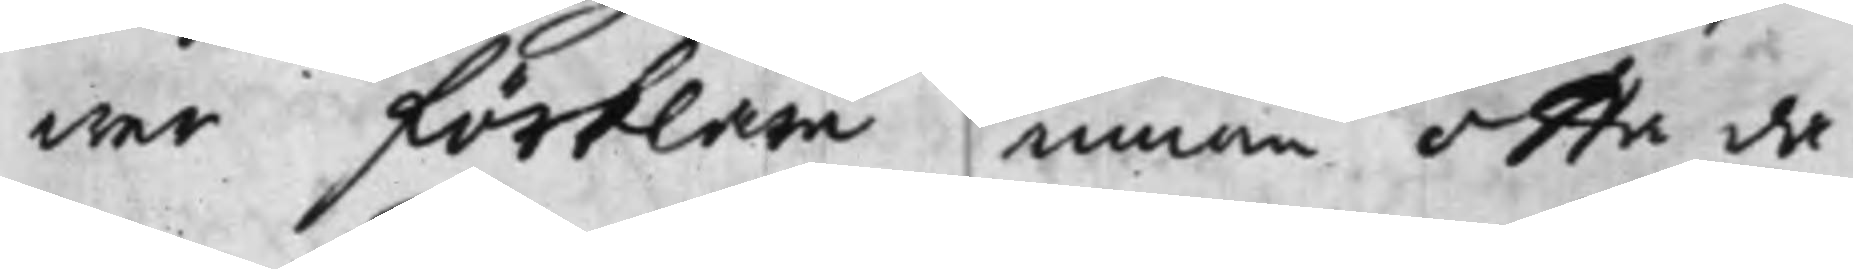wer förklara innom otta da¬
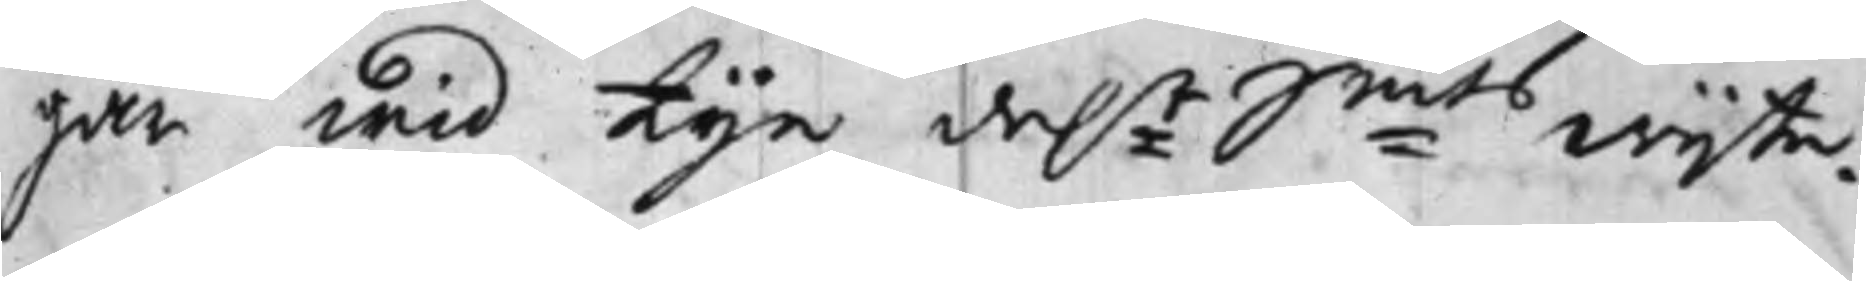gar wid tije da:r S:mts wijte.
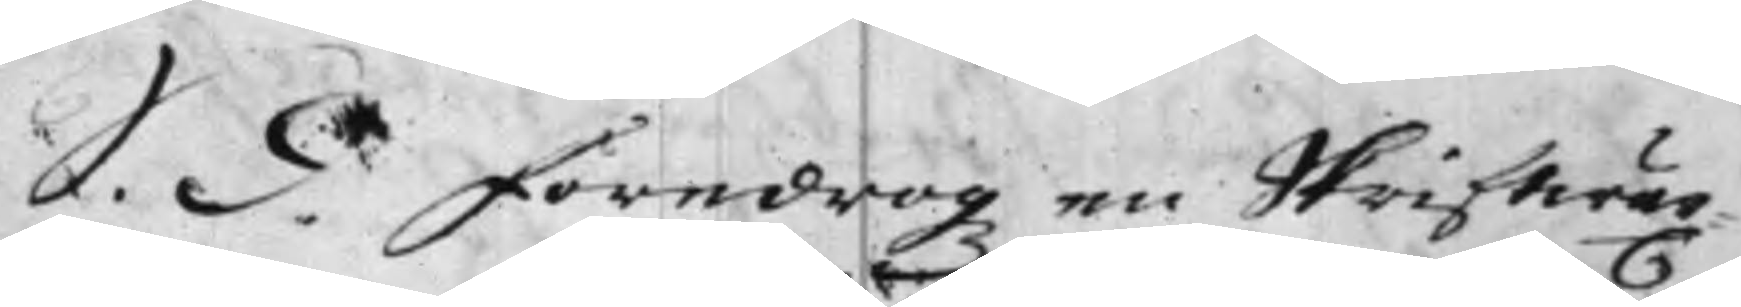S. d. föredrogz en Skriftwäx¬
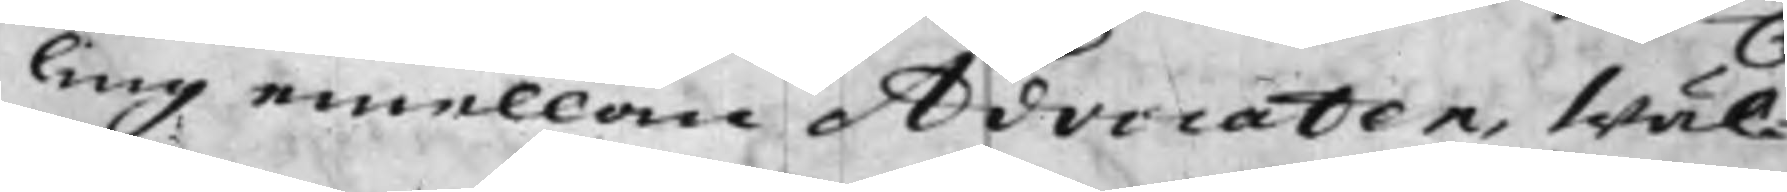ling emellan Advocaten, Wäl¬
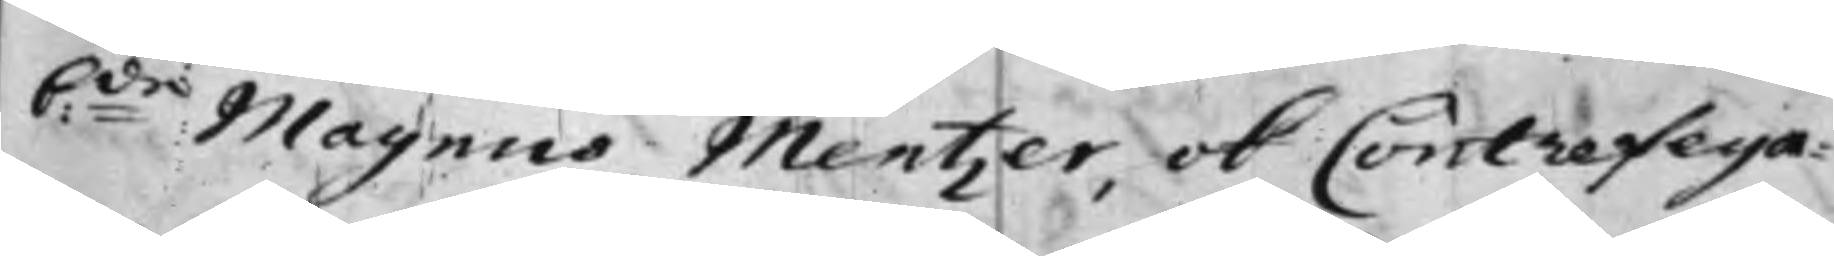b:de Magnus Mentzer, ok Contrefeya¬
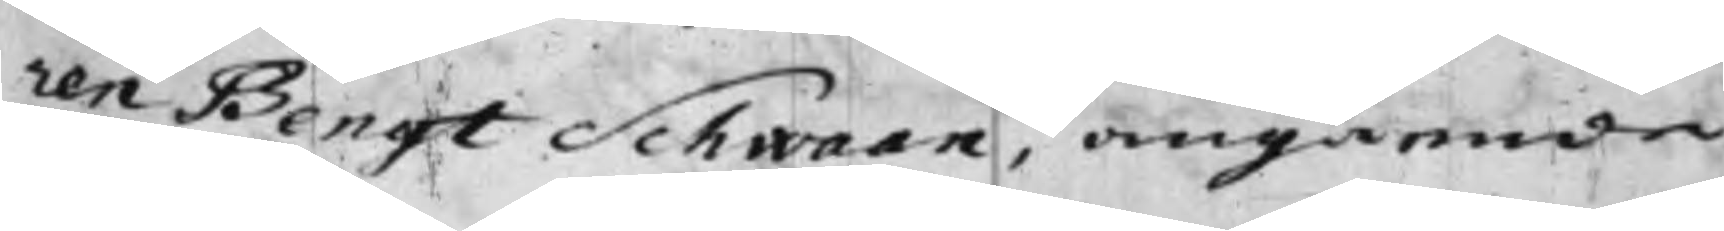ren Bengt Schwaan, angående
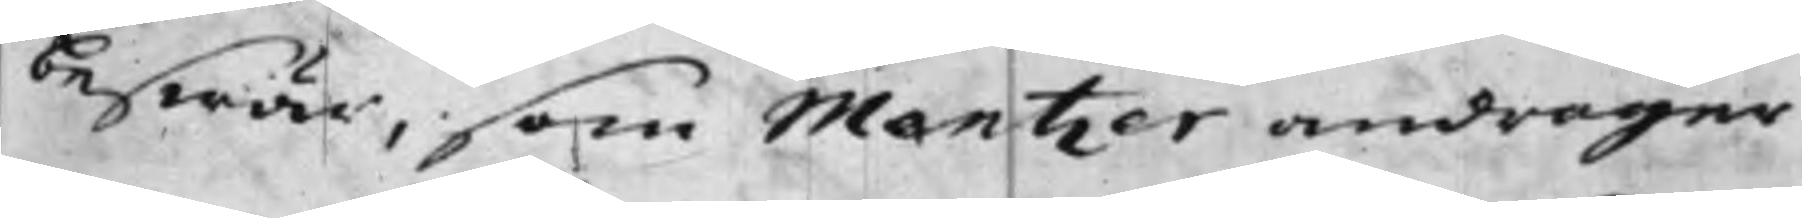beswär, som Mentzer andrager
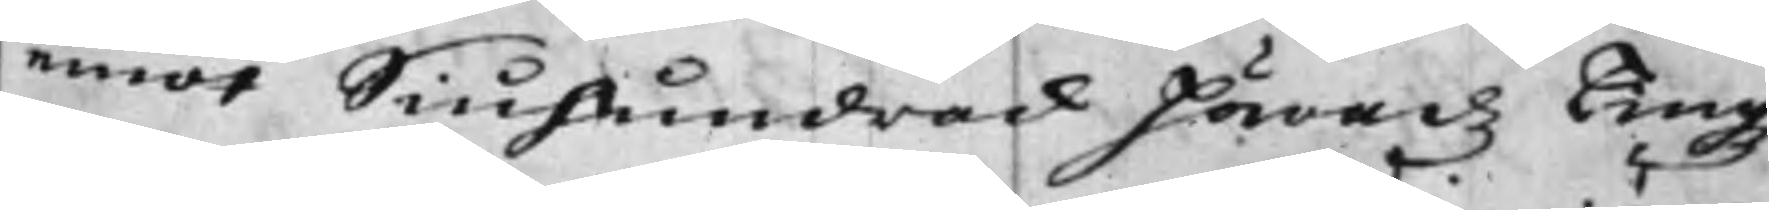emot Siuhundrad häradz Tingz
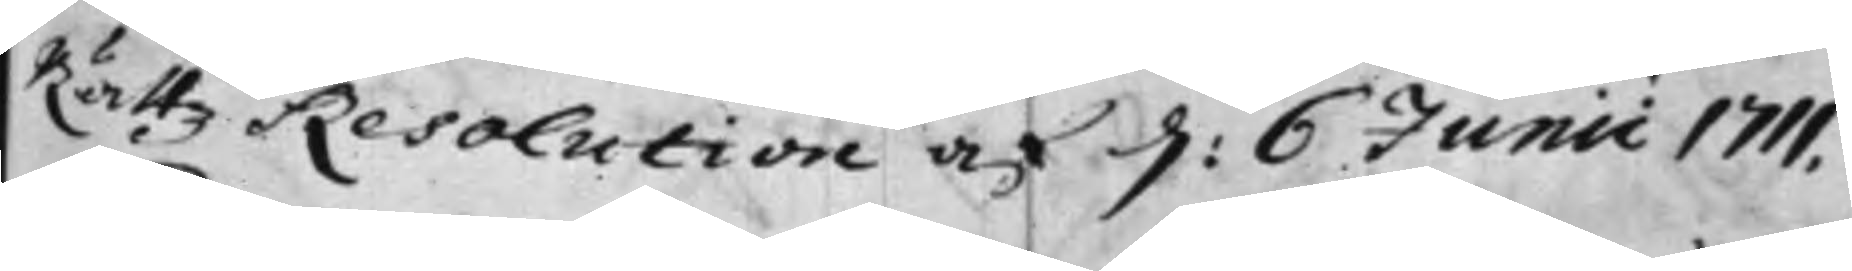Rättz Resolution af d: 6 Junii 1711,
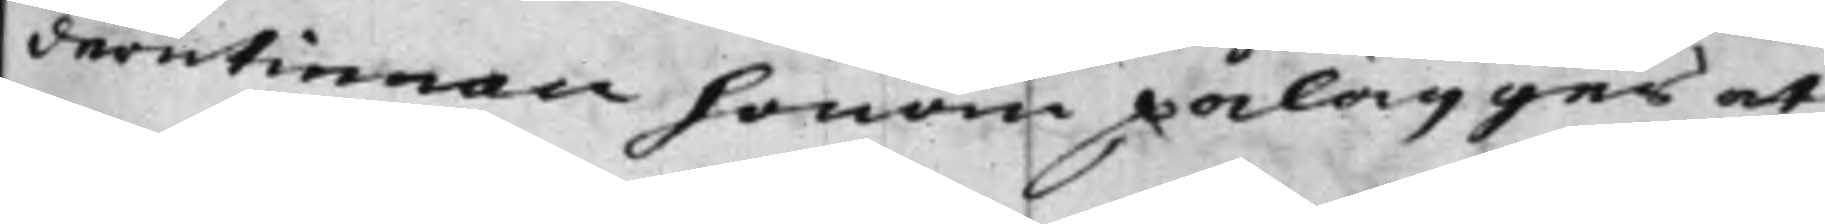derutinnan honom pålägges at
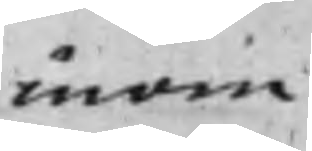inom
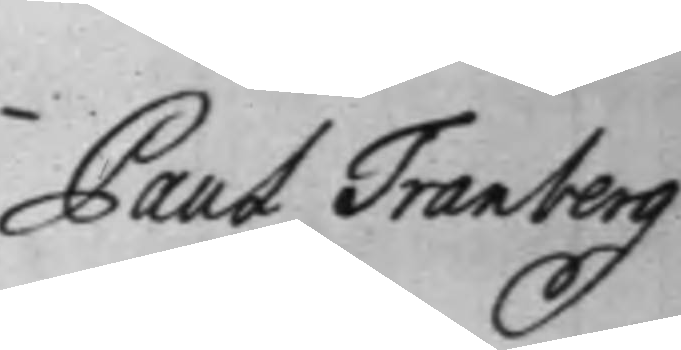Paul Tranberg
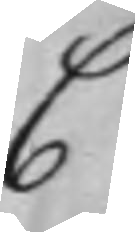C
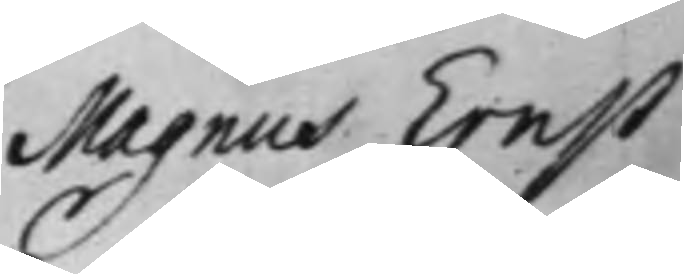Magnus Ernst
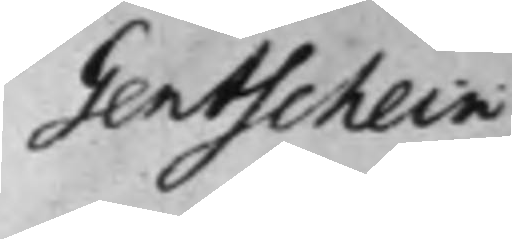Gentschein
